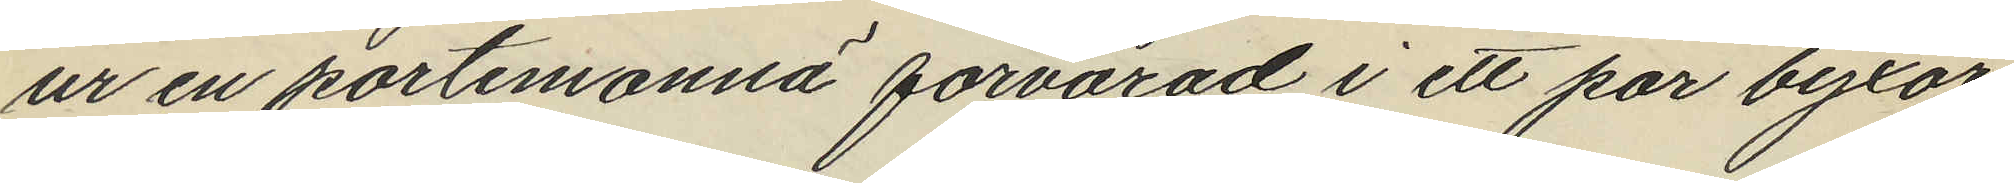ur en portemonnä förvarad i ett par byxor
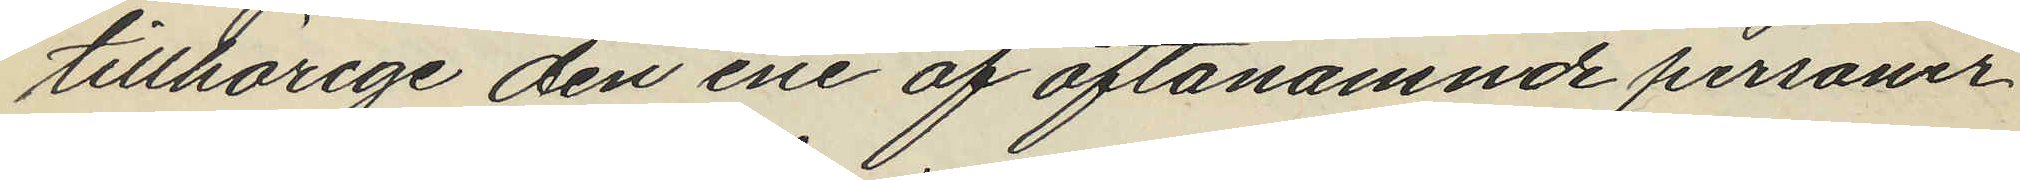tillhörige den ene af oftanämnde personer
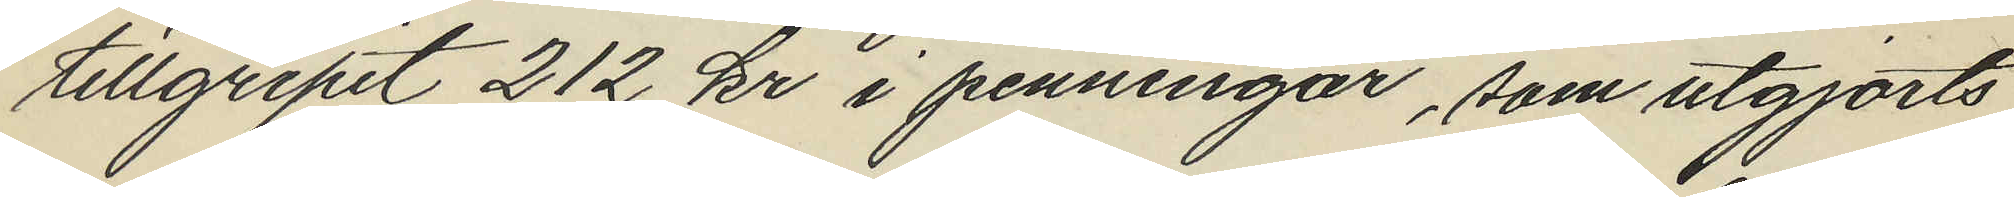tillgripit 212 kr i penningar, som utgjorts
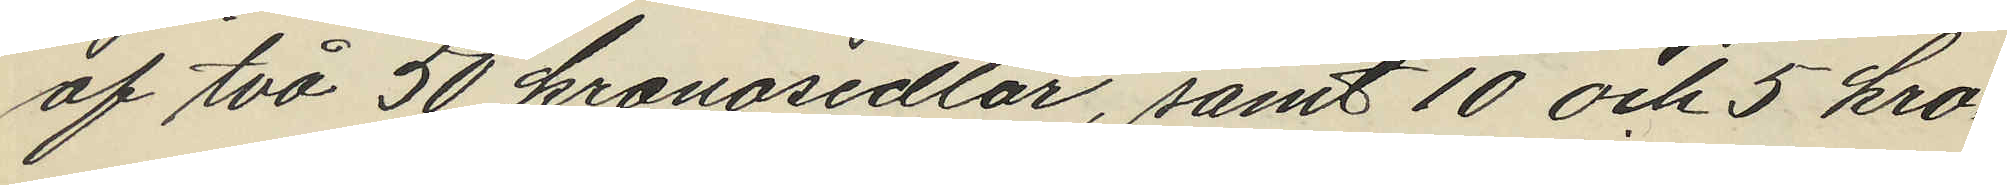af två 50 kronosedlar, samt 10 och 5 kro¬
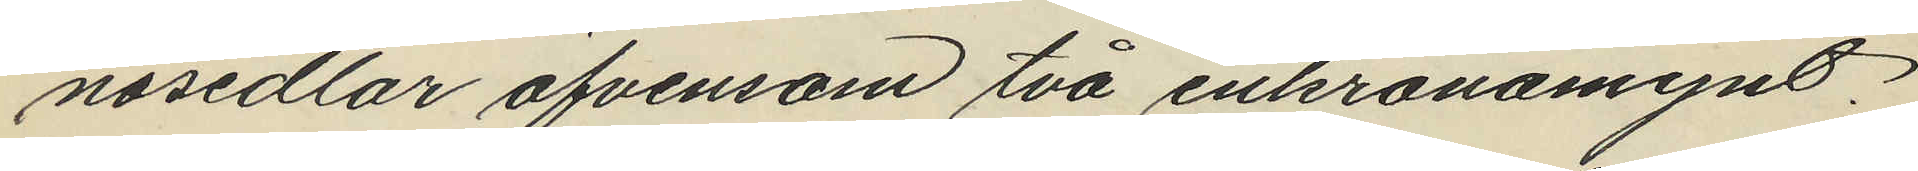nosedlar äfvensom två enkronomynt
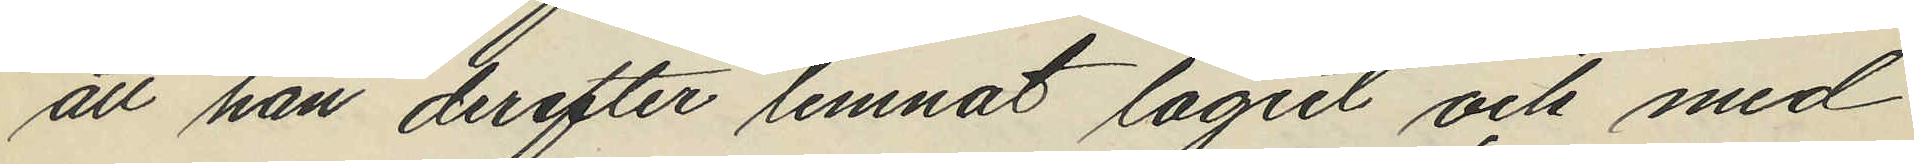att han derefter lemnat logiet och med
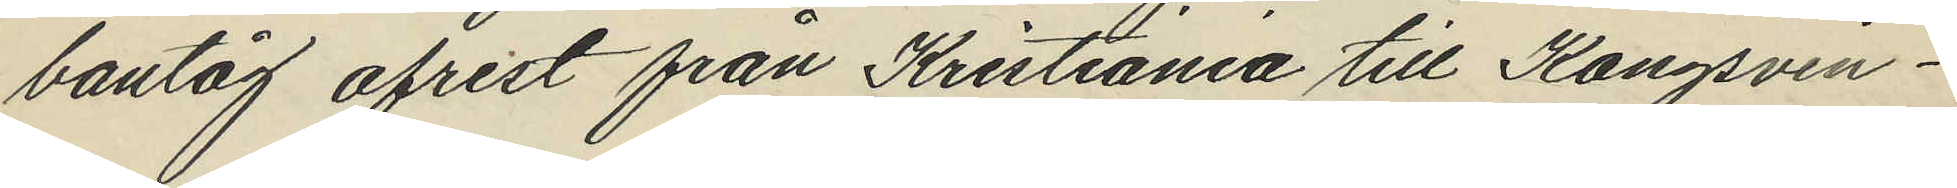bantåg afrest från Kristiania till Kongsvin¬
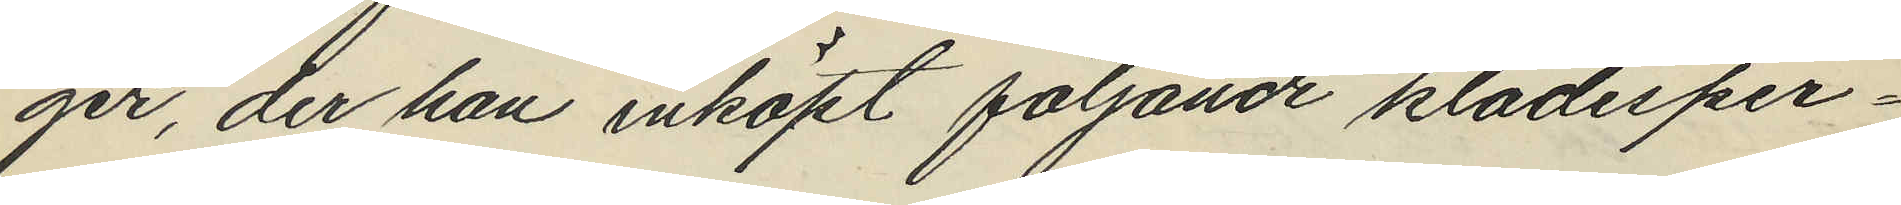ger, der han inköpt följande klädesper¬
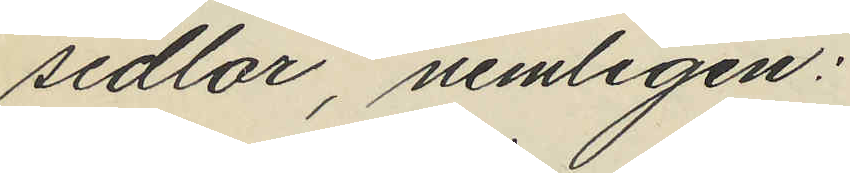sedlar, nemligen:
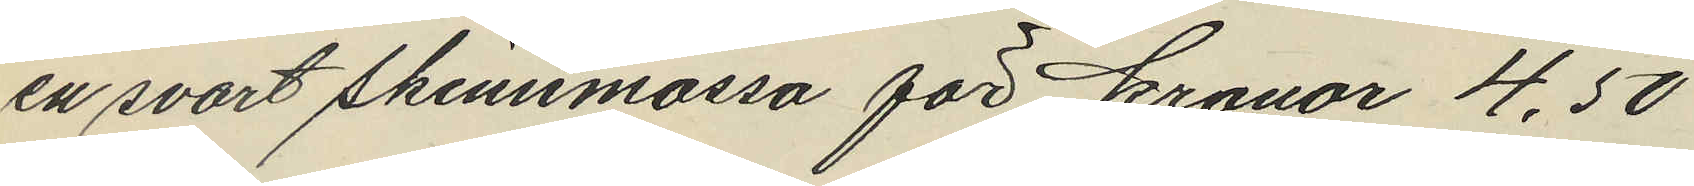en svart skinnmössa för kronor 4,50
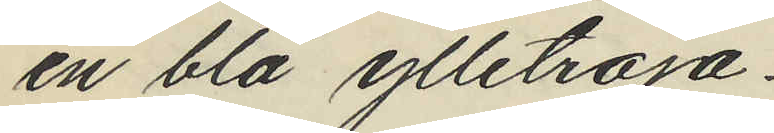en blå ylletröja
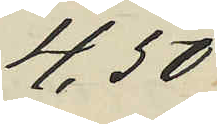4,50
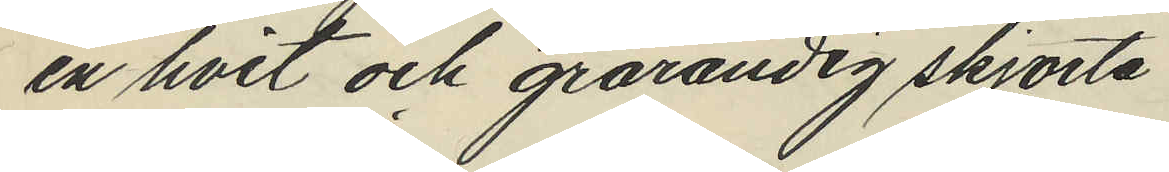en hvit och grarandig skjorta
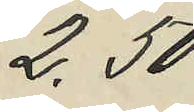2,50
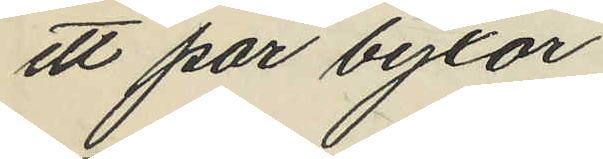ett par byxor
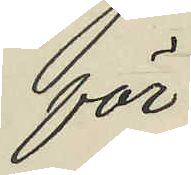för
